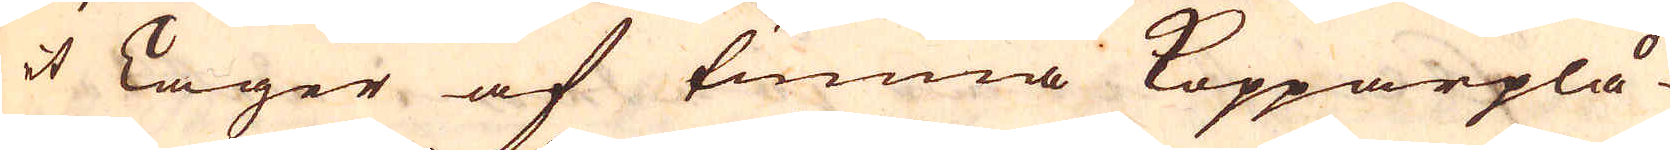et Lager af tunna Kopparplå-
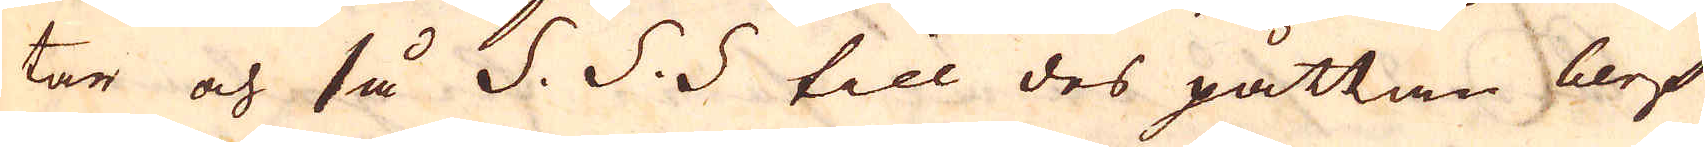tar och så S. S. S till des påttan blef
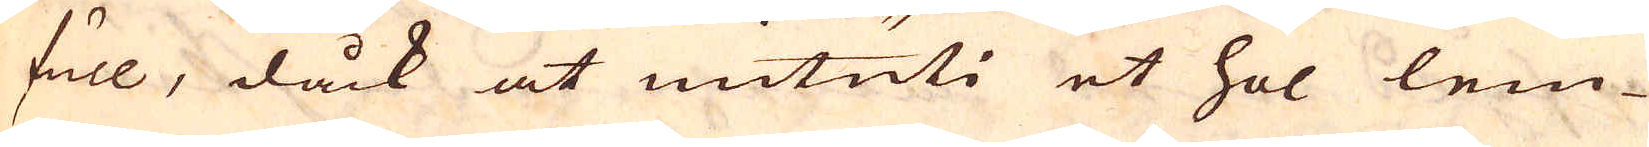full, dåck at inuti et hol lem-
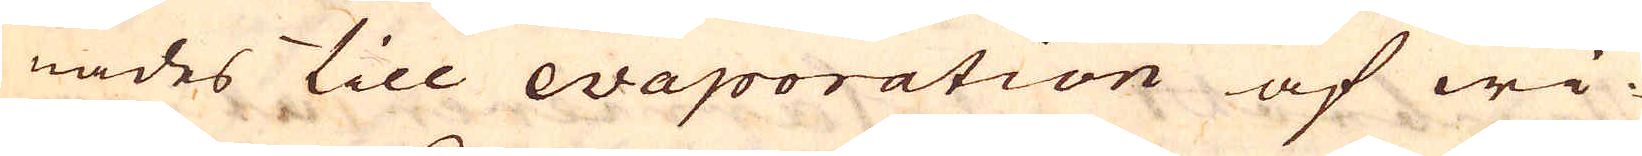nades till evaporation af wi-
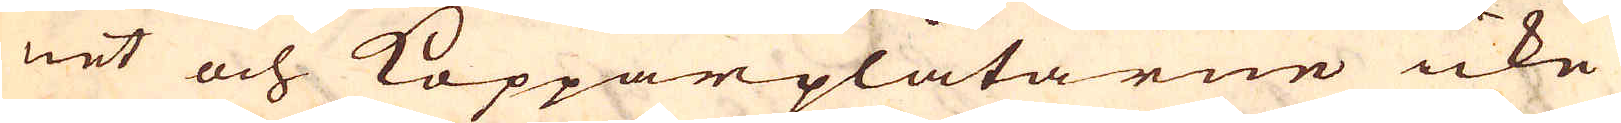net och Kopparplåtarne icke
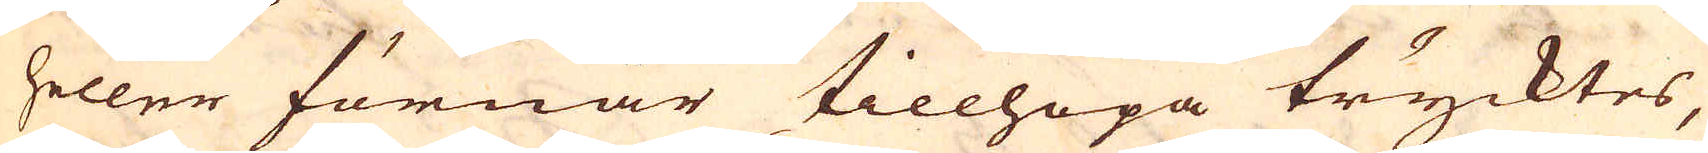heller förmår tillhopa trycktes,
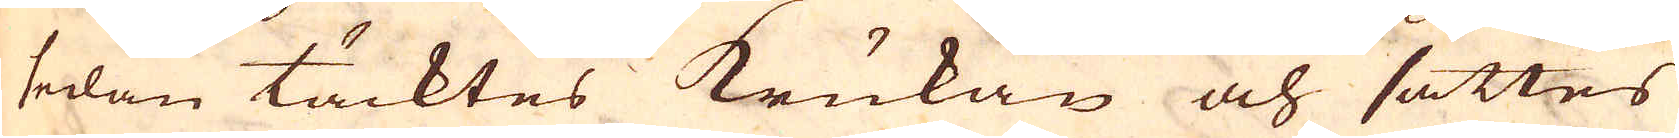sedan täcktes Krukan och sattes
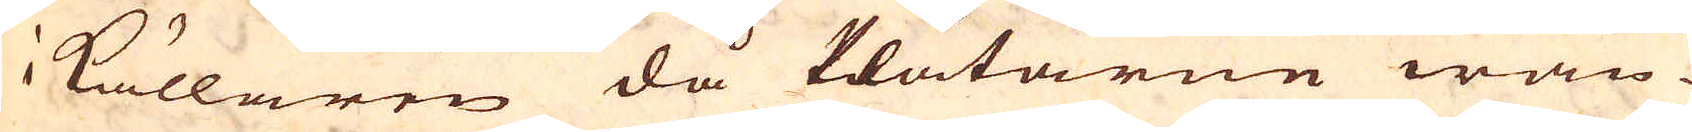i Källaren då Plåtarne wän-
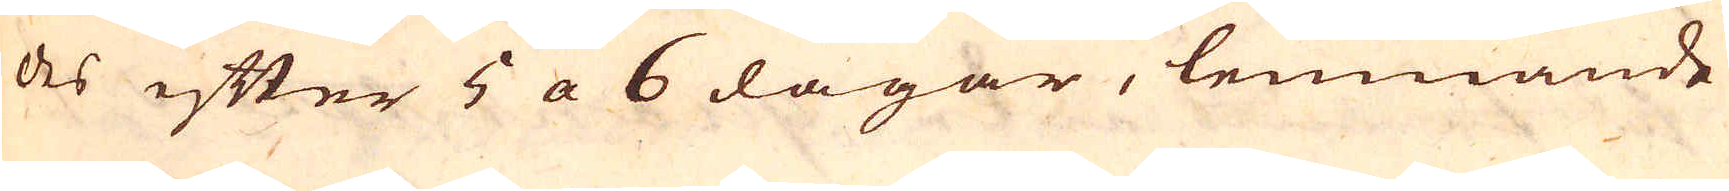des efter 5 a 6 dagar, lemnande
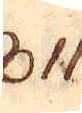811.
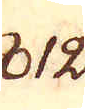812.
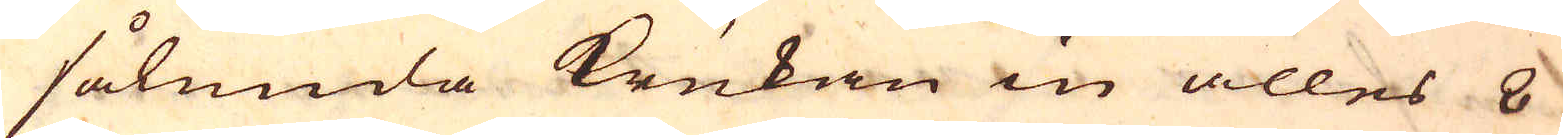sålunda Krukan in alles 8
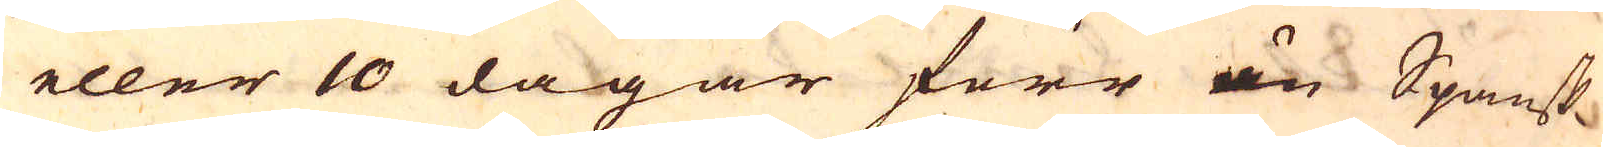eller 10 dagar förr än Spansk-
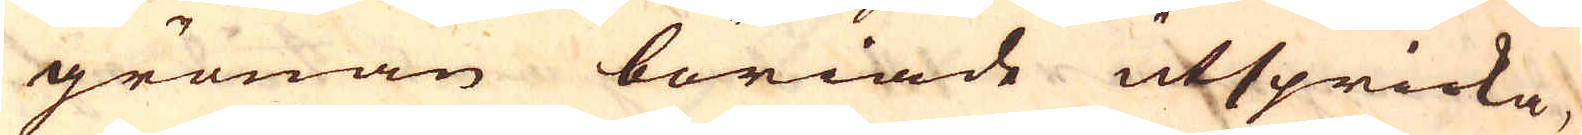grönan böriade utspricka,
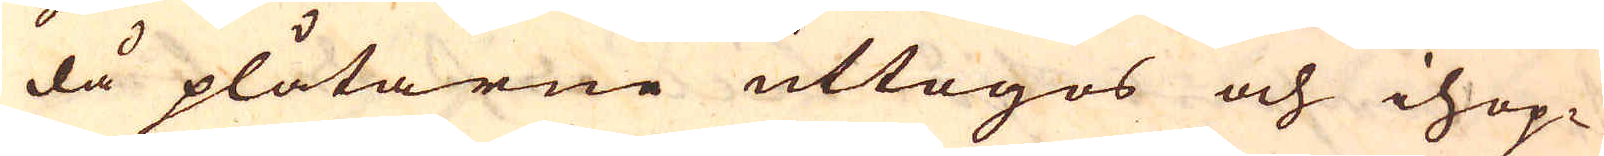då plåtarne uttogos och ihop-
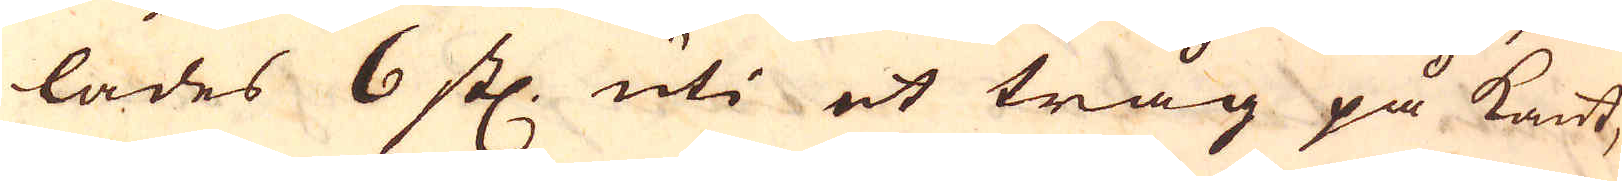lades 6 st. uti et tråg på kant,
